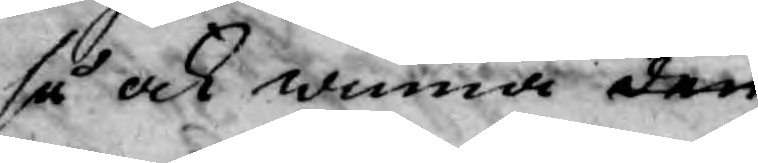så ock winna den
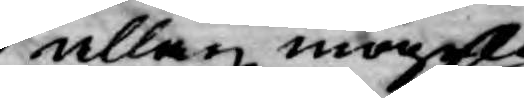allan mögelig
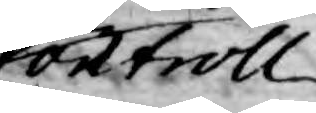Controll
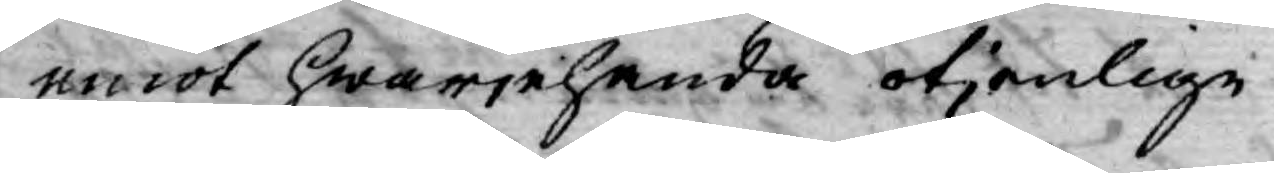emot hwarjehanda otjenlige
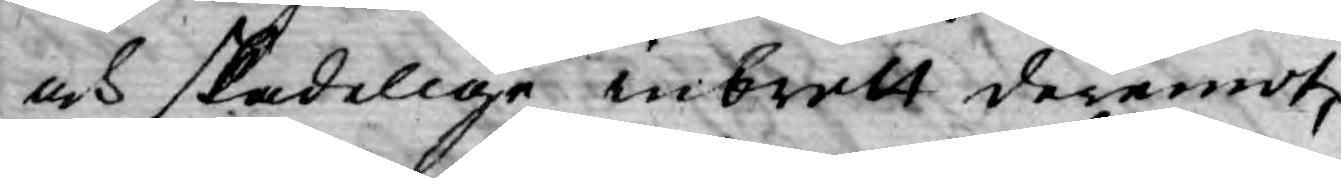och skadelige inbrott deremot,
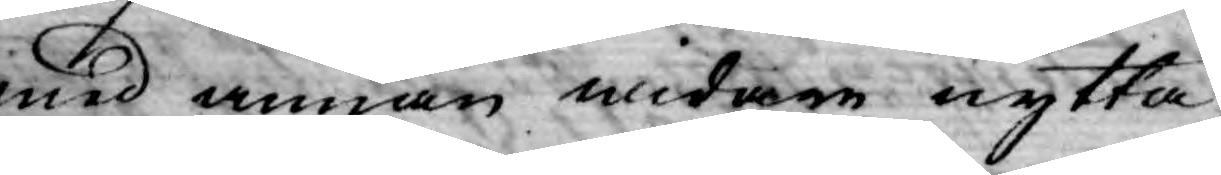med annan widare nytta,
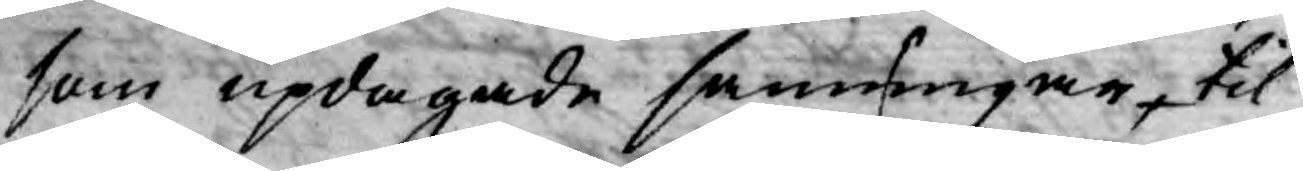som updagade sanningar, til
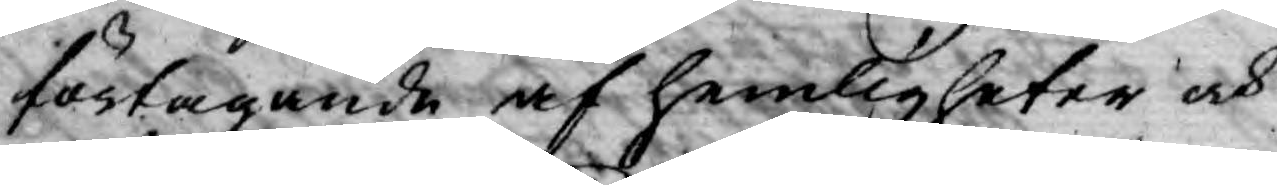förtagande af hemligheter och
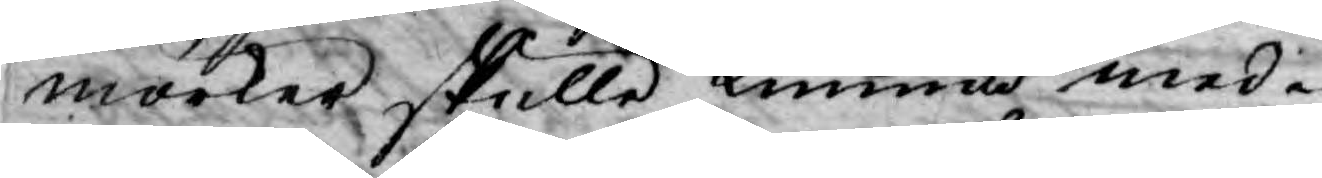mörker skulle kunna med¬
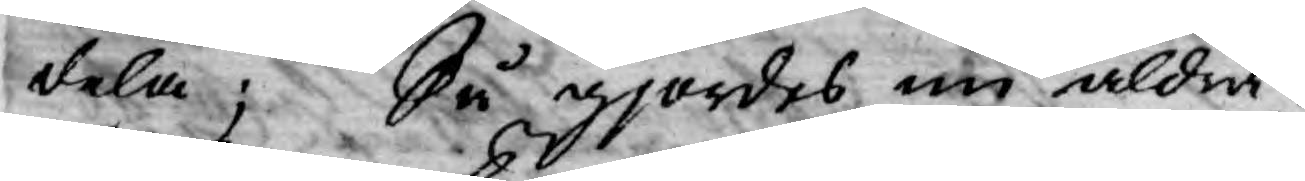dela; Så gjordes nu aldra¬
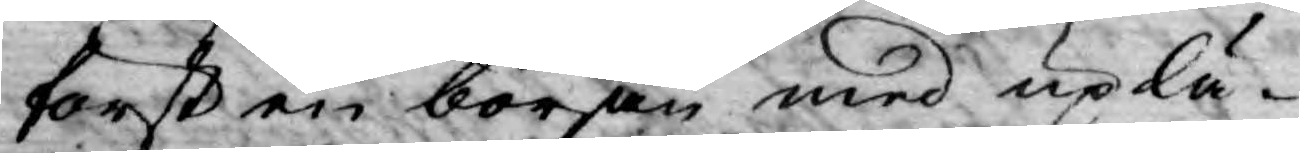först en början med uplä¬
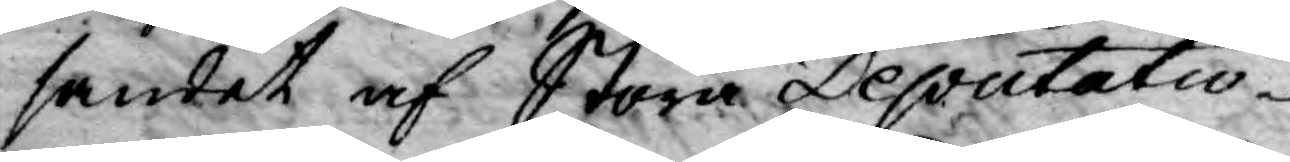sandet af Stora Deputatio¬
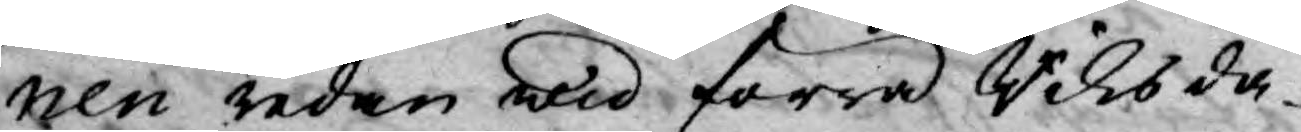nen redan wid förra Riksda¬
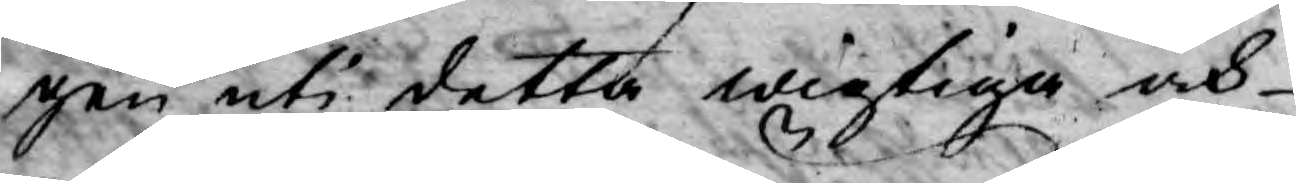gen uti detta wigtiga och
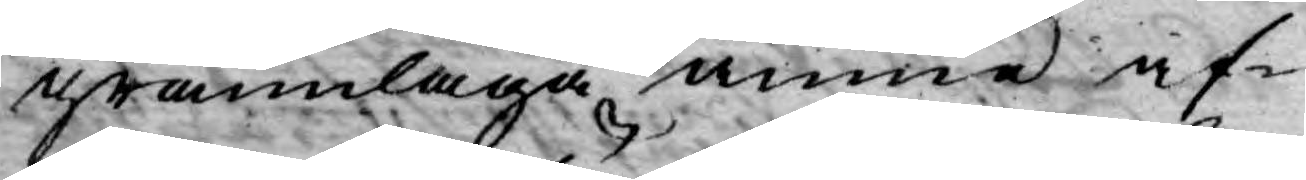grannlaga ämne af-
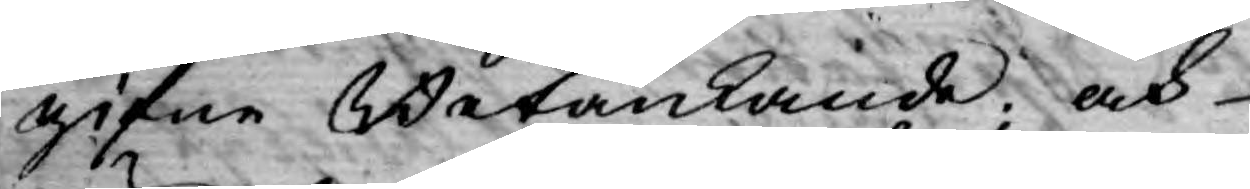gifne Betänkande; och
